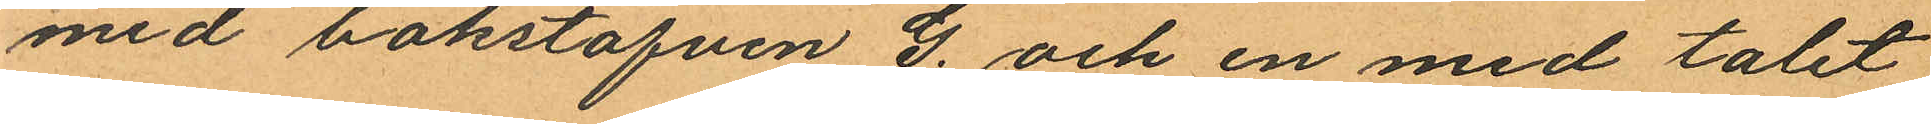med bokstafven G. och en med talet
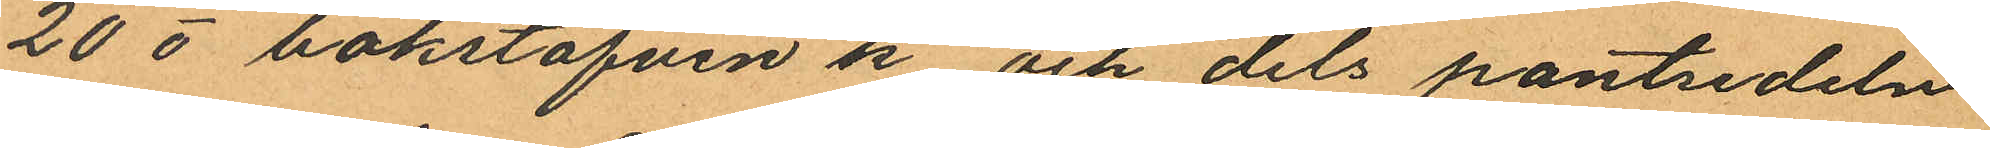20 o bokstafven k, och dels pantsedeln
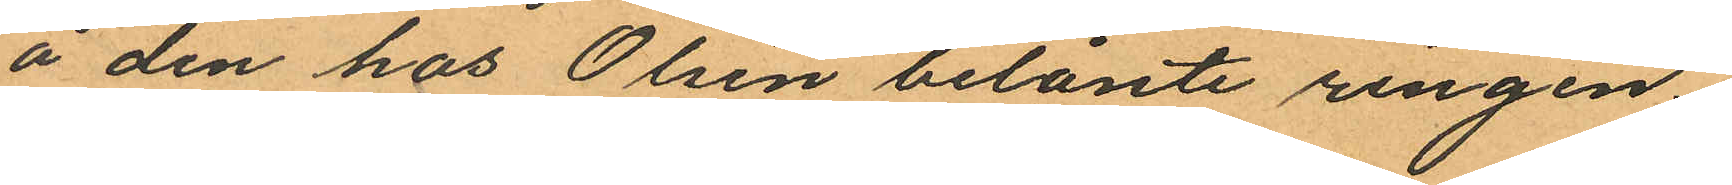å den hos Olsén belånte ringen.
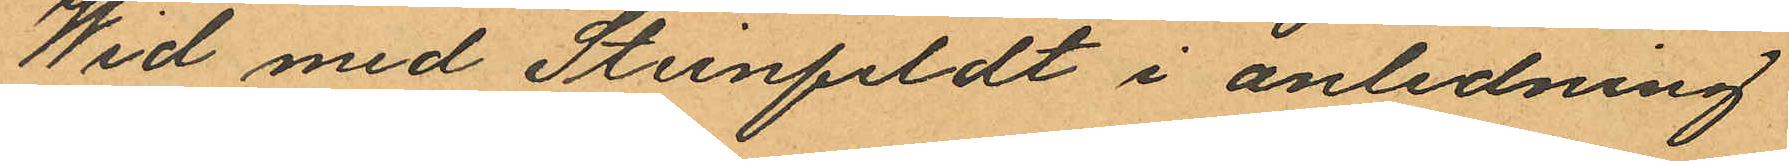Wid med Steinfeldt i anledning
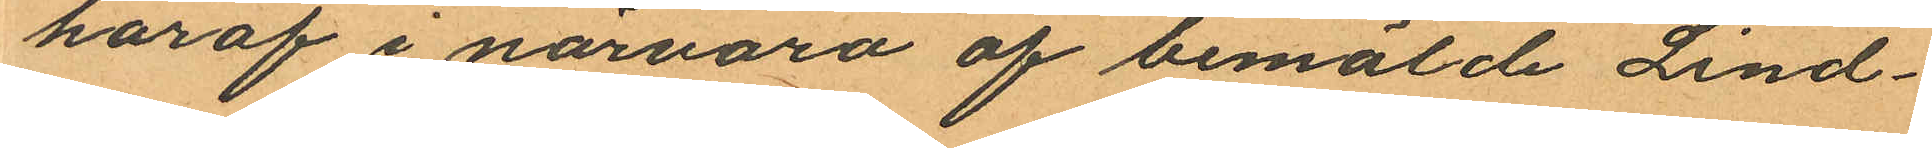haraf i närvaro af bemälde Lind¬
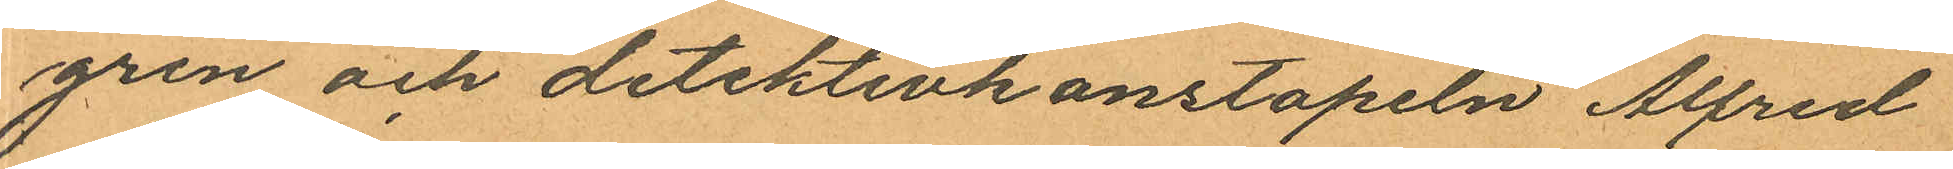gren och detektivkonstapeln Alfred
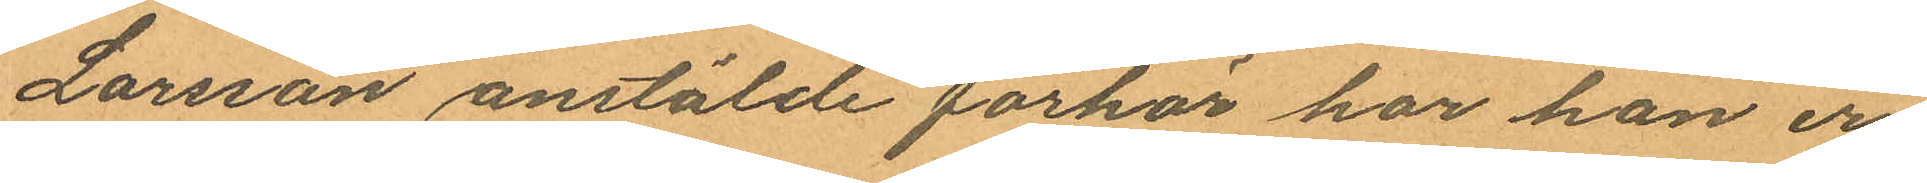Larsson anstälde förhör har han er¬
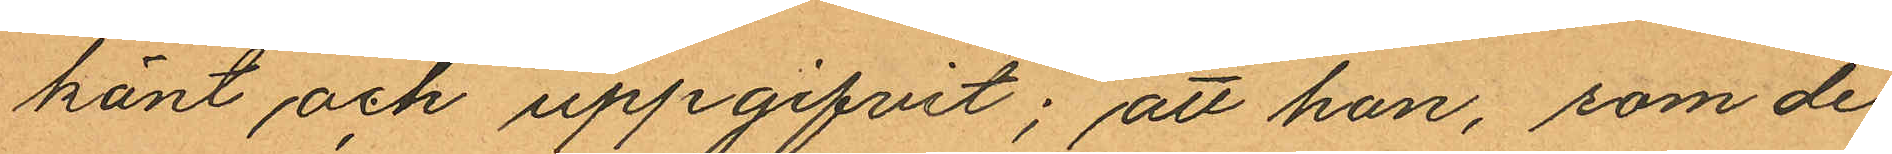känt och uppgifvit; att han, som de
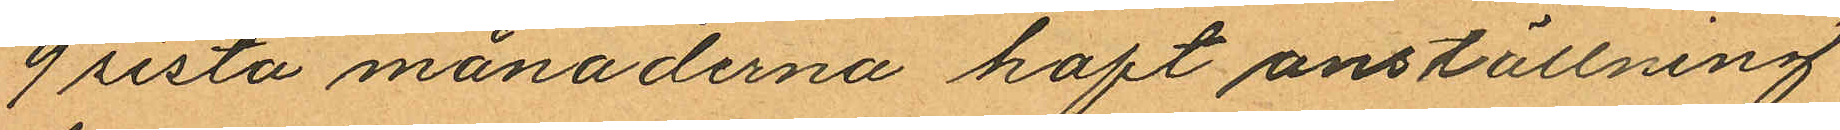9 sista månaderna haft anställning
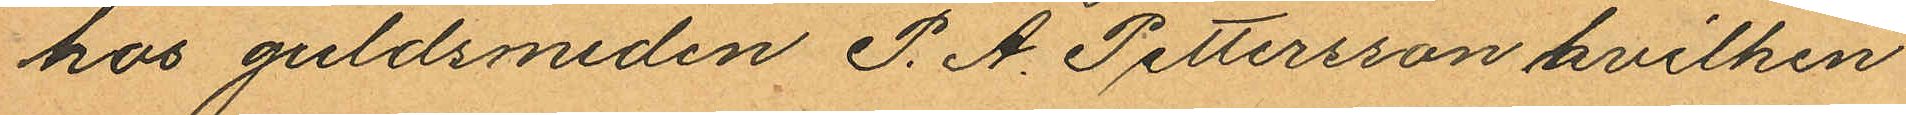hos guldsmeden P. A. Pettersson hvilken
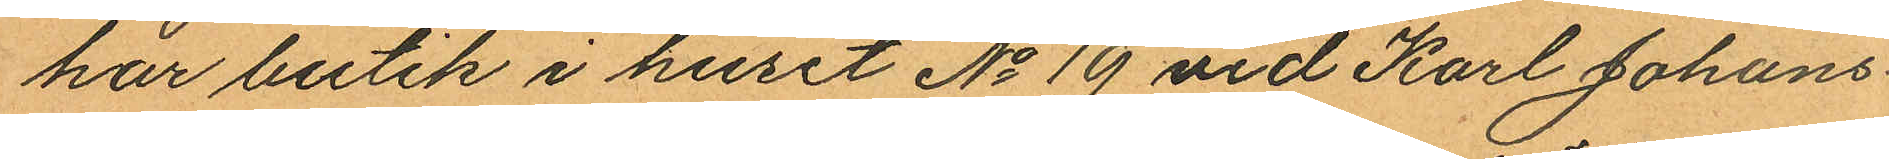har butik i huset No 19 vid Karl Johans¬
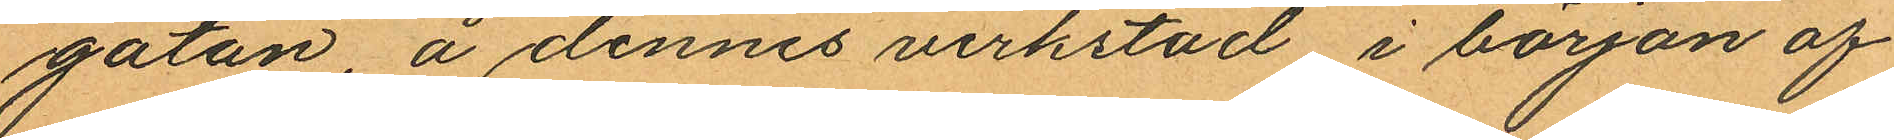gatan, å dennes verkstad, i början af
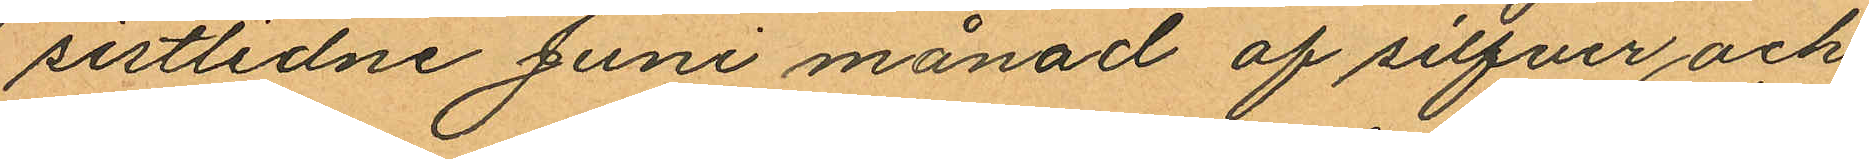sistlidne Juni månad af silfver och
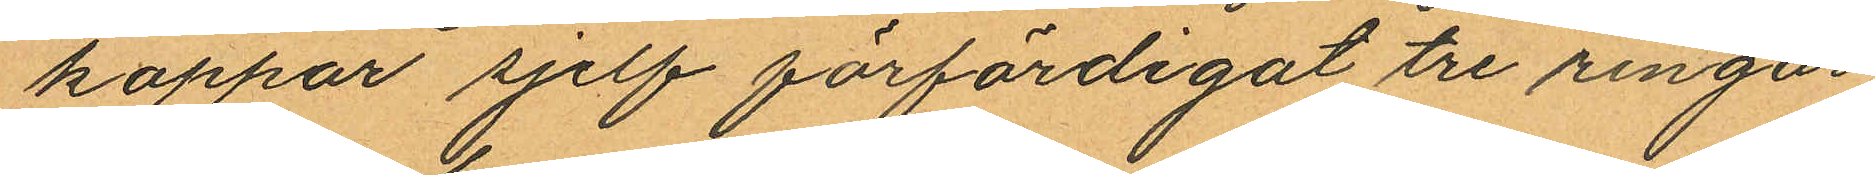koppar sjelf förfärdigat tre ringar,
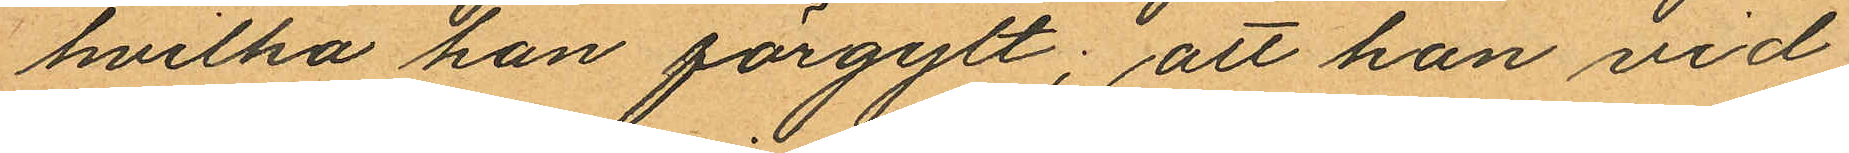hvilka han förgylt; att han vid
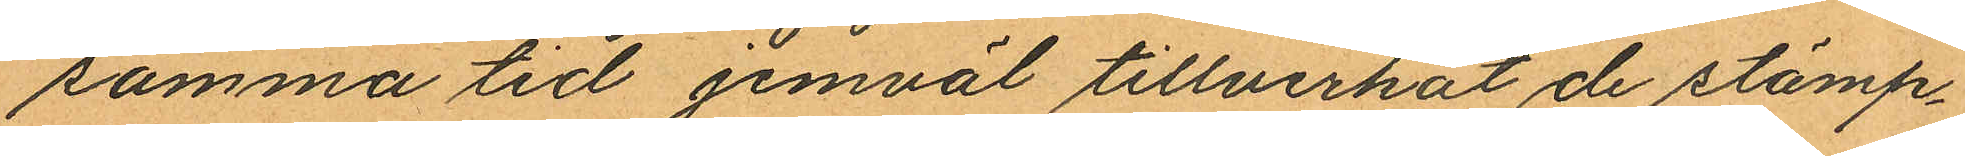samma tid jemväl tillverkat de stämp¬
